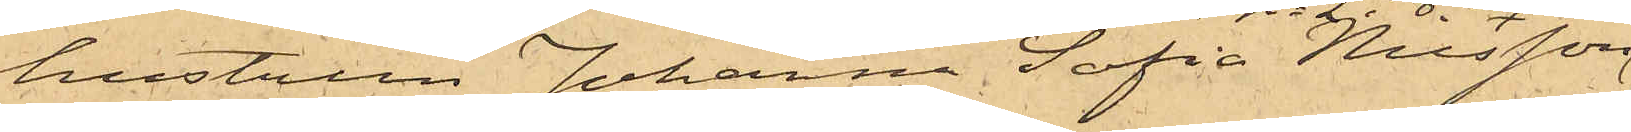hustrun Johanna Sofia Nilsson
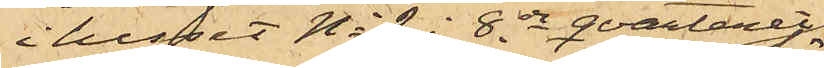i huset No 9 i 8de qvarteret
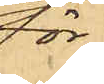för¬
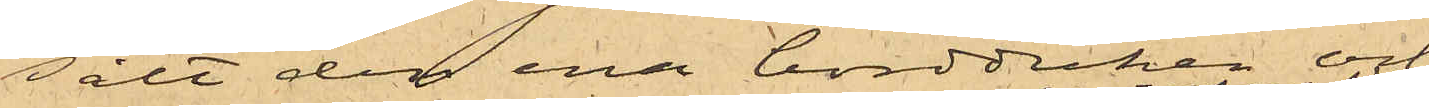sålt den ena bordduken och
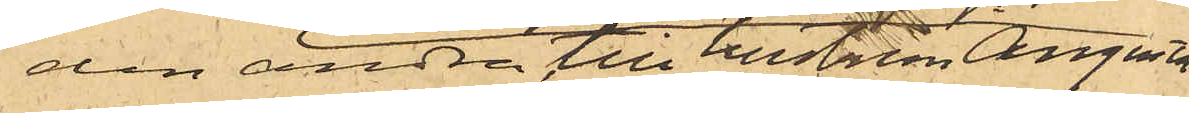den andra till hustrun Augusta
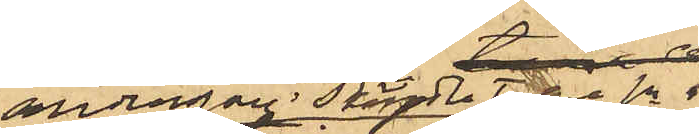Andersson i Skändla Tufve Sn.
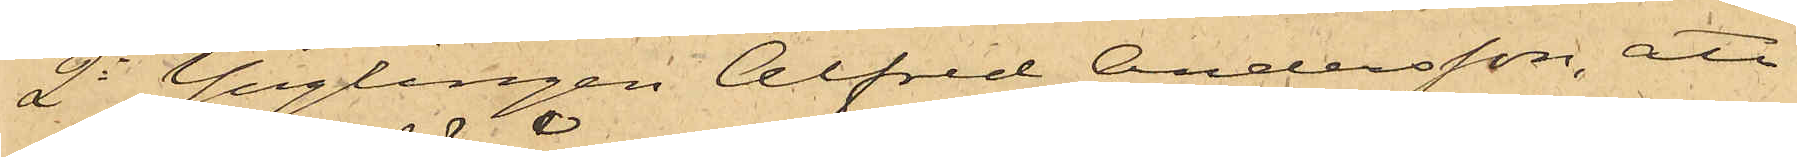2o Ynglingen Alfred Andersson, att
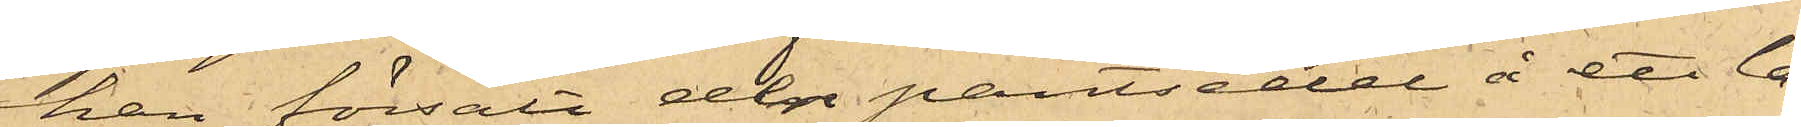han försålt den pantsedel å ett la¬
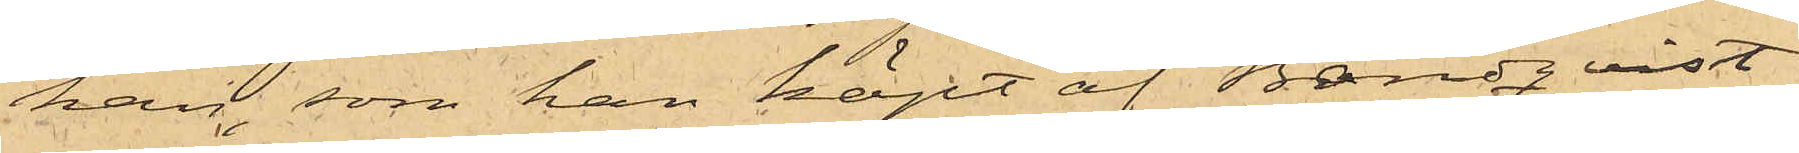kan, som han köpt af Brandqvist
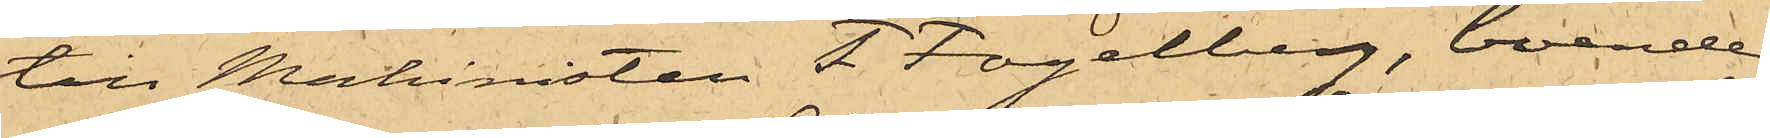till Machinisten F. Fogelberg, boende
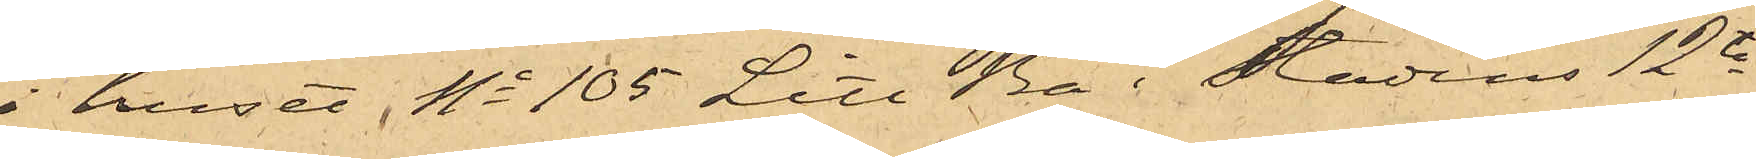i huset No 105 Litt Ba i Stadens 12te
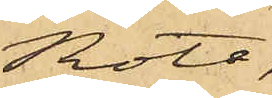Rote;
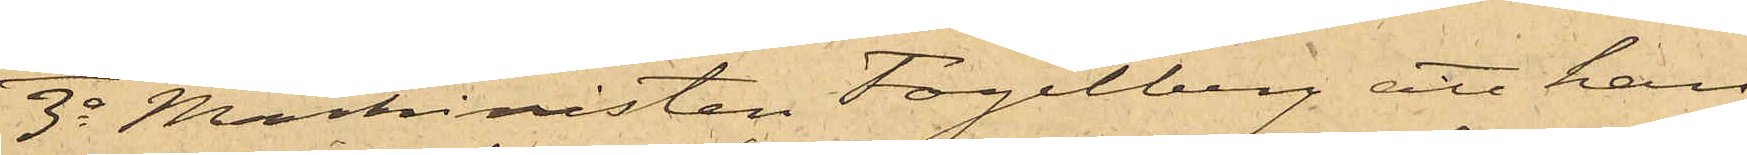3o Machinisten Fogelberg att han
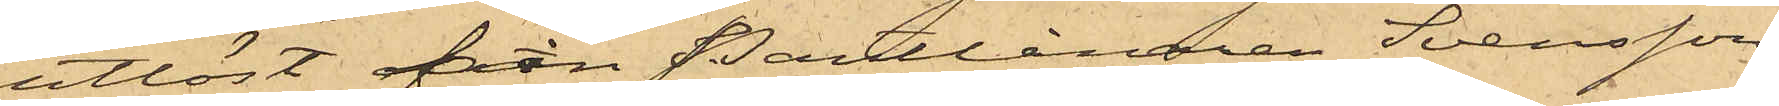utlöst från Pantlånaren Svensson
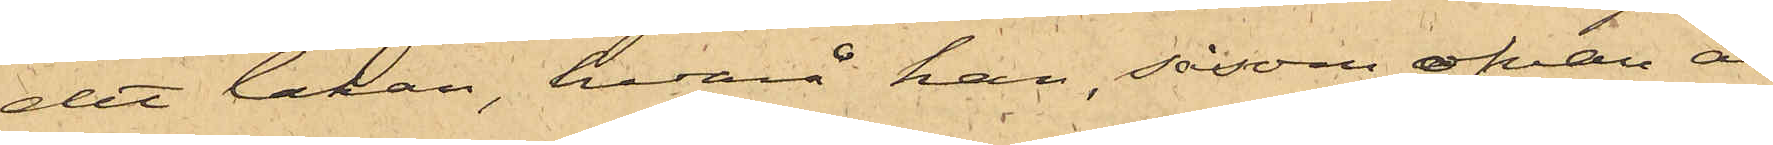det lakan, hvarå han, såsom ofvan är
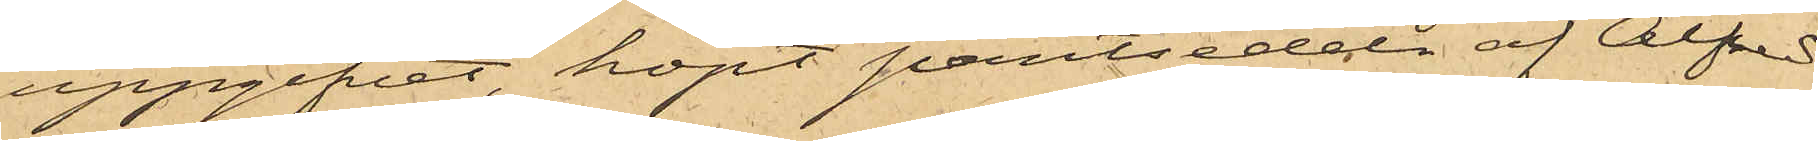uppgifvet, köpt pantsedeln af Alfred
